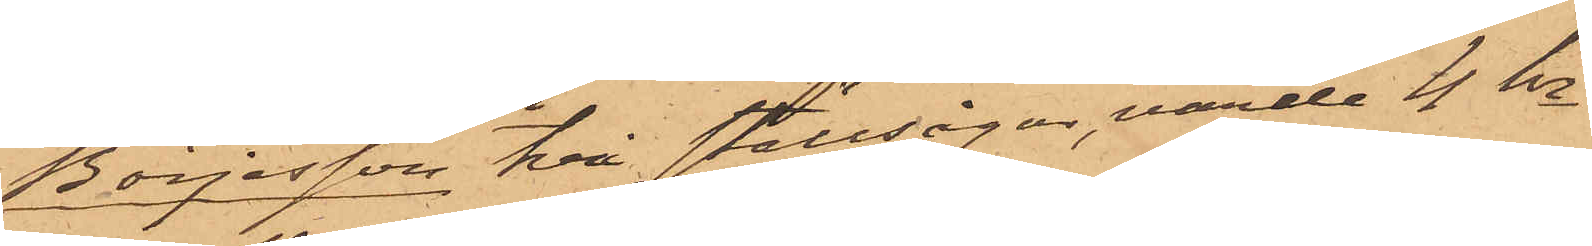Börjesson två ställsågar, värde 4 kr
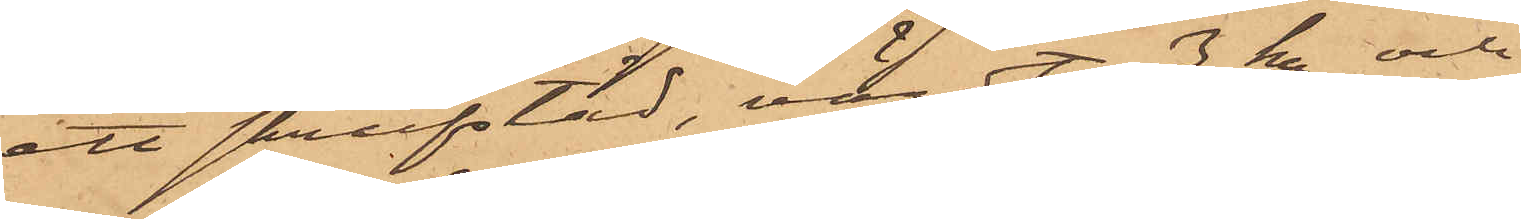ett skrufstäd, värdt 3 kr och
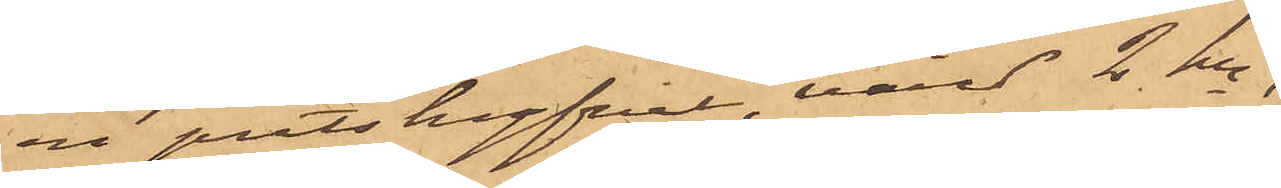en puts hyfvel, värd 2 kr,
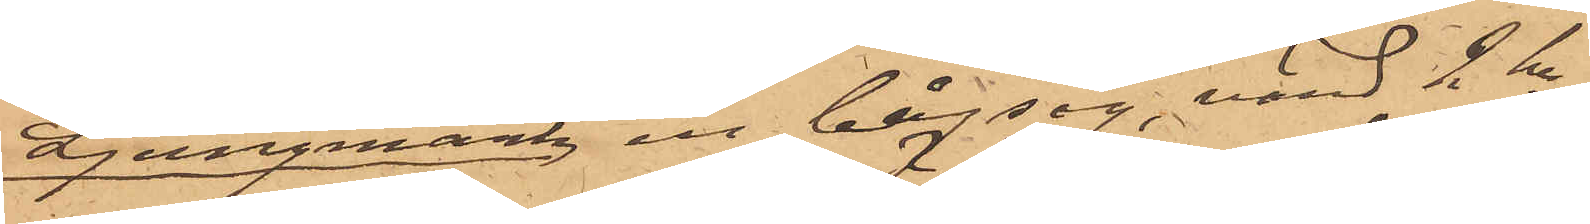Ljungmark en bågsåg, värd 2 kr
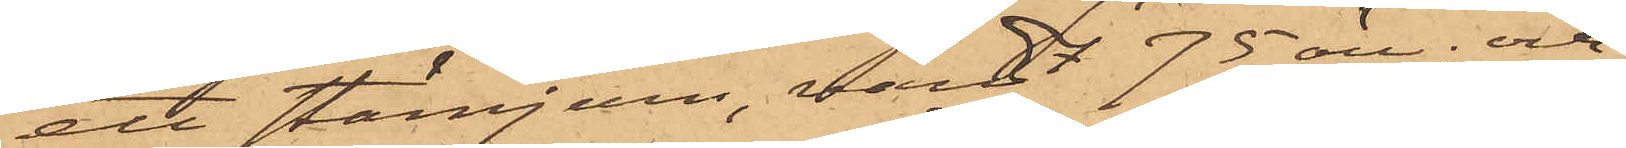ett stämjern, värdt 75 öre; och
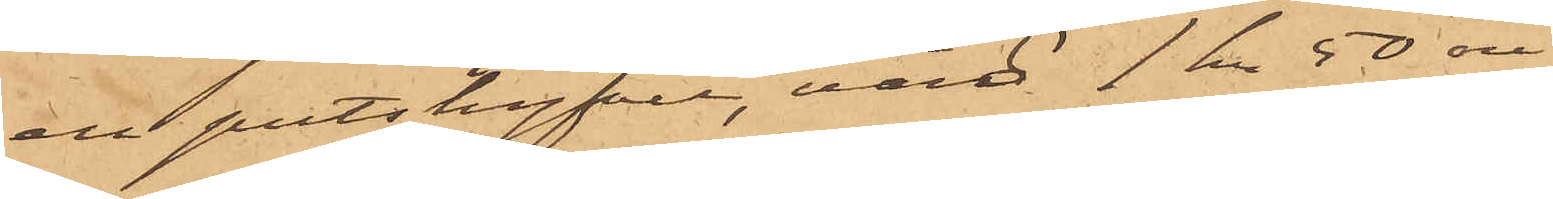ett putshyfvel, värd 1 kr 50 öre
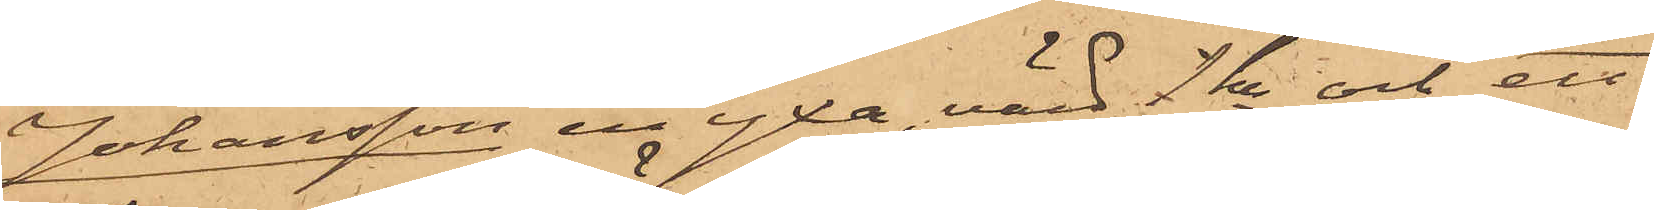Johansson en yxa, värd 1 kr och ett
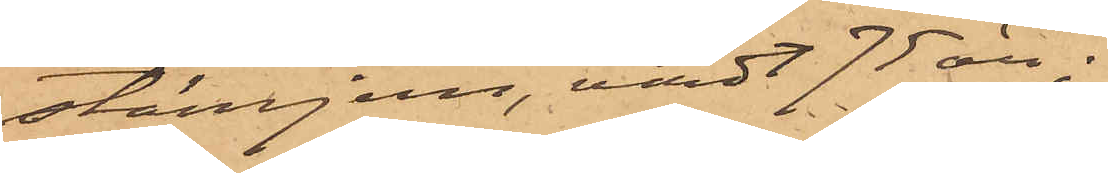stämjern, värdt 75 öre.
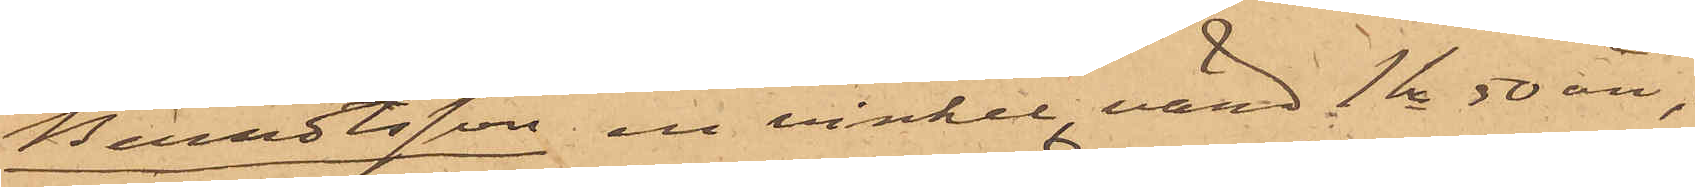Berndtsson, en vinkel, värd 1 kr 50 öre;
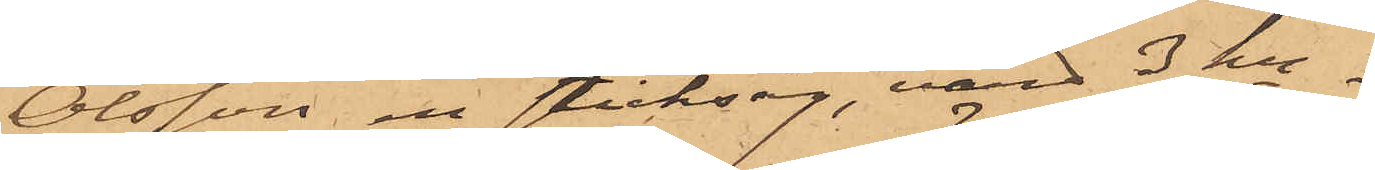Olsson en sticksåg, värd 3 kr,
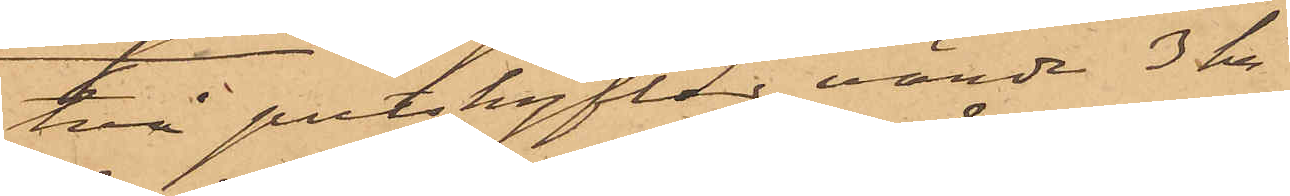två putshyflar värde 3 kr,
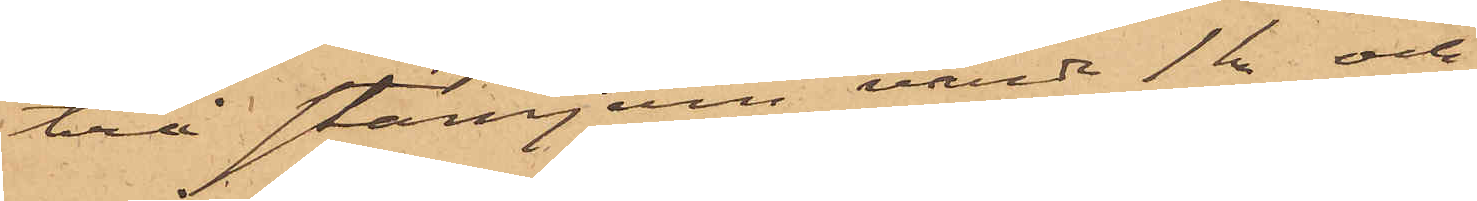två stämjern, värda 1kr och
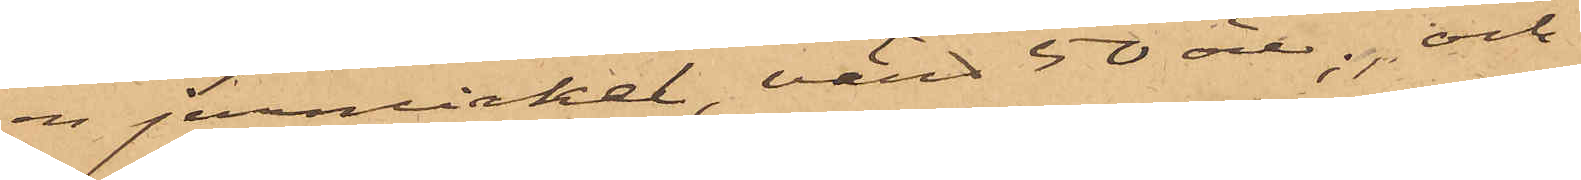en jernvinkel, värd 50 öre; och
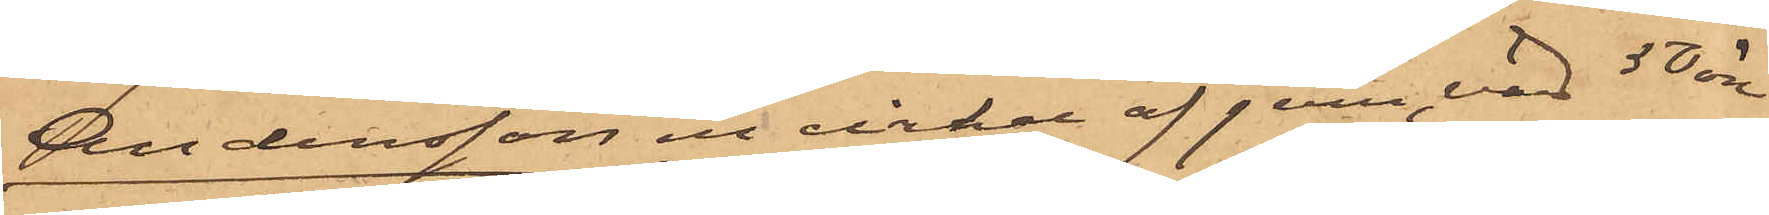Andersson en vinkel af jern, värd 50 öre
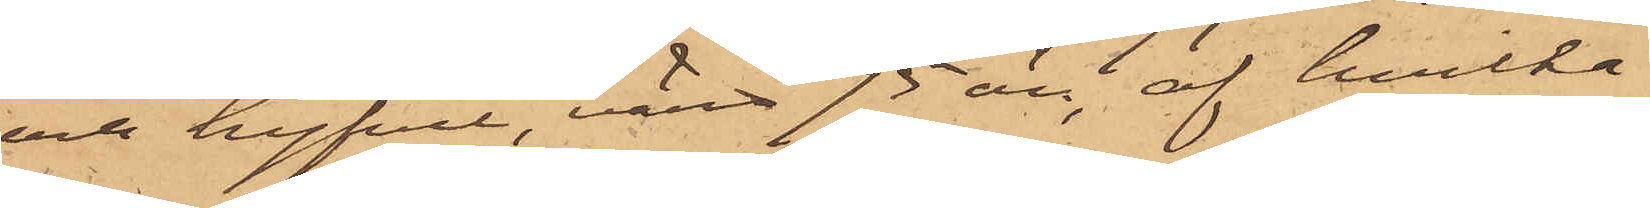och hyfvel, värdt 75 öre, af hvilka
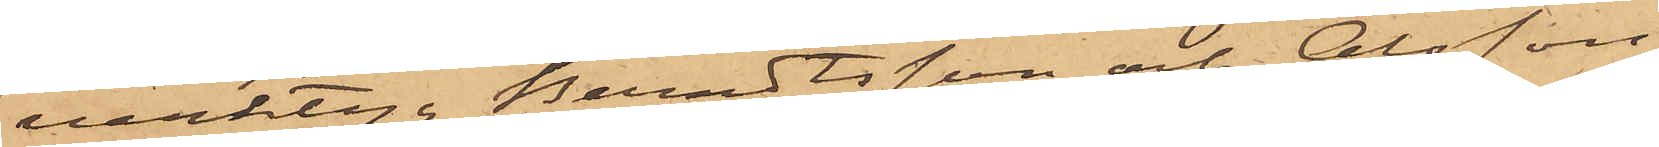verktyg Berndtsson och Olsson
